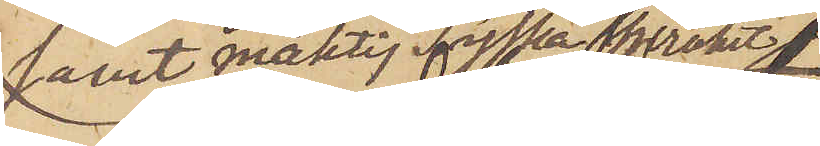samt mäktig Tyska språket
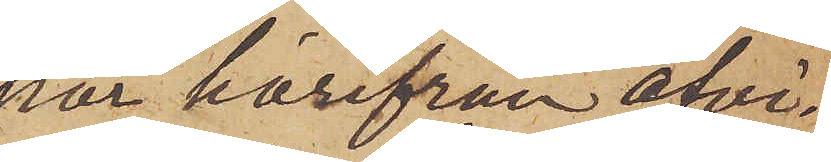har härifrån afvi¬
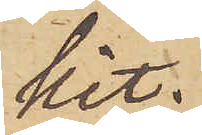kit;
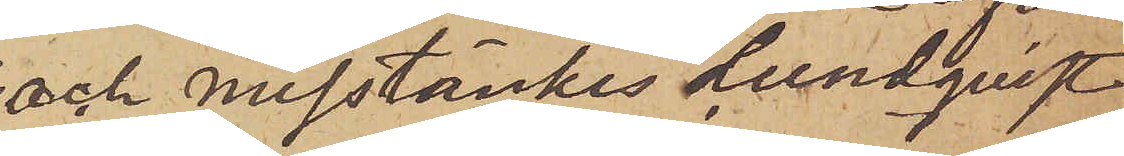och misstänkes Lundqvist
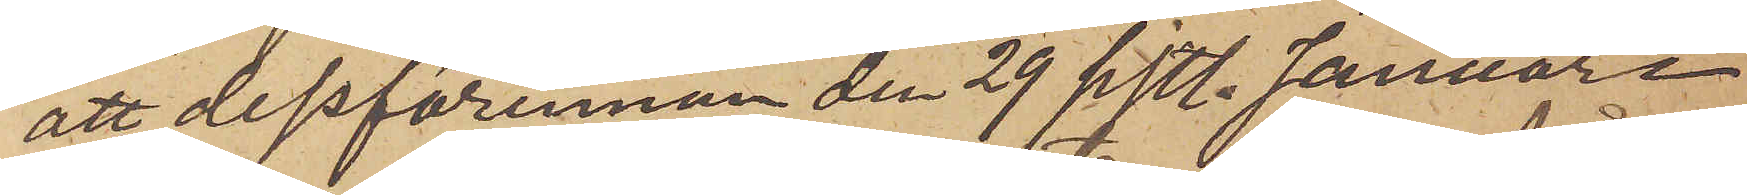att dessförinnan den 29 sistl. Januari
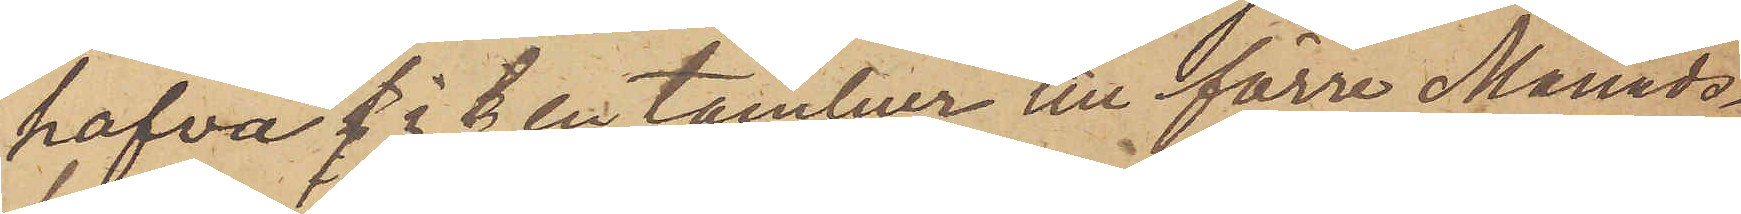hafva f i t en tambur till förre Månads¬
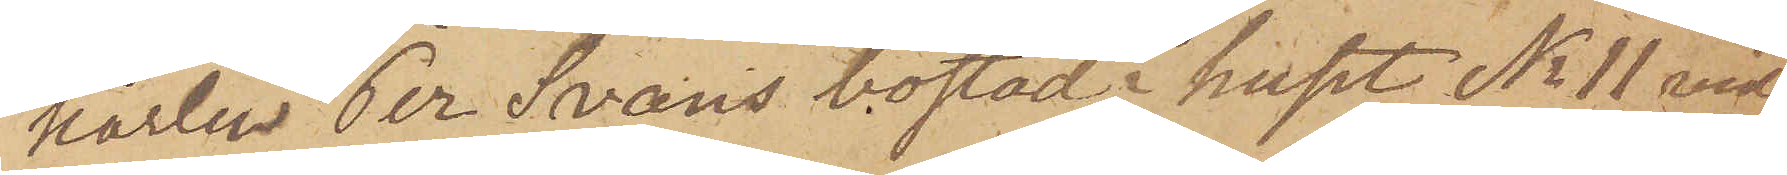karlen Per Svans bostad i huset No 11 vid
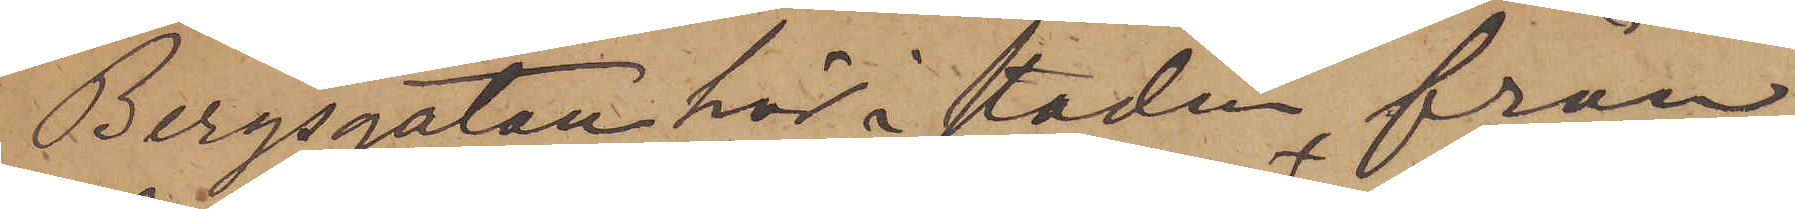Bergsgatan här i staden, från
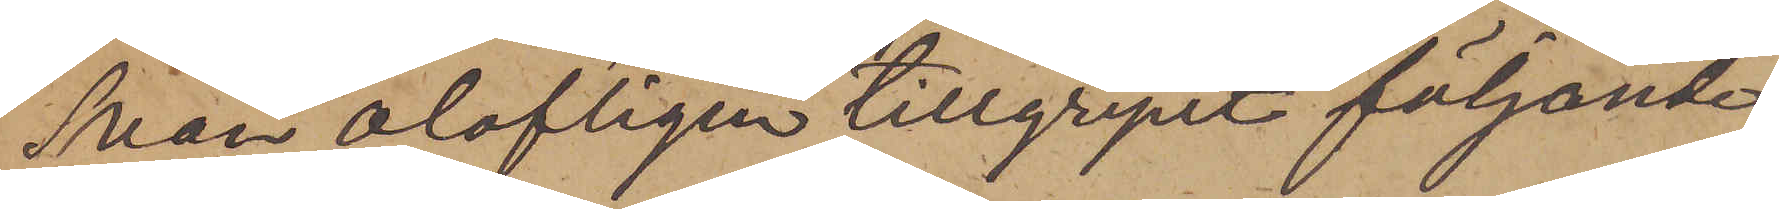Svan olofligen tillgripit följande
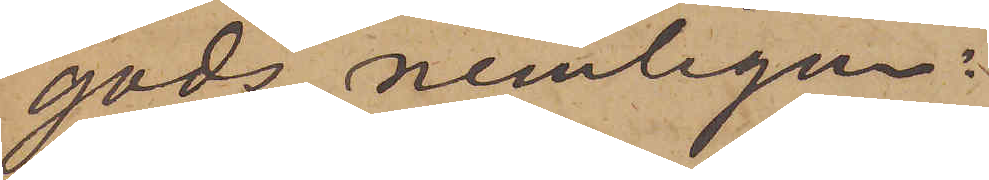gods, nemligen:
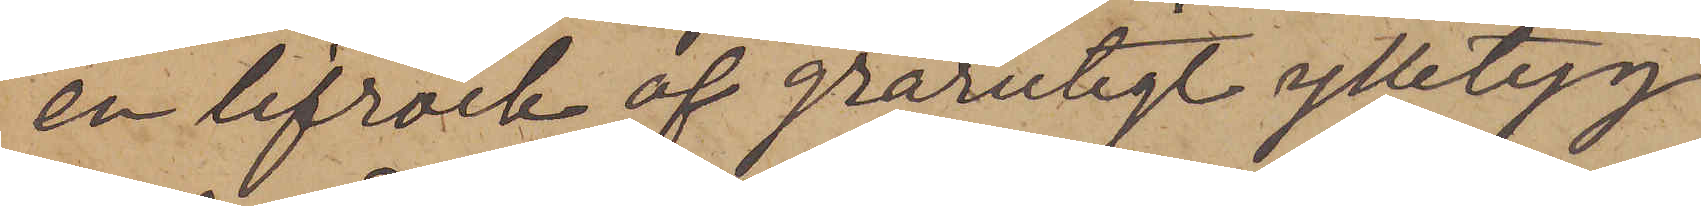en lifrock af grårutigt ylletyg
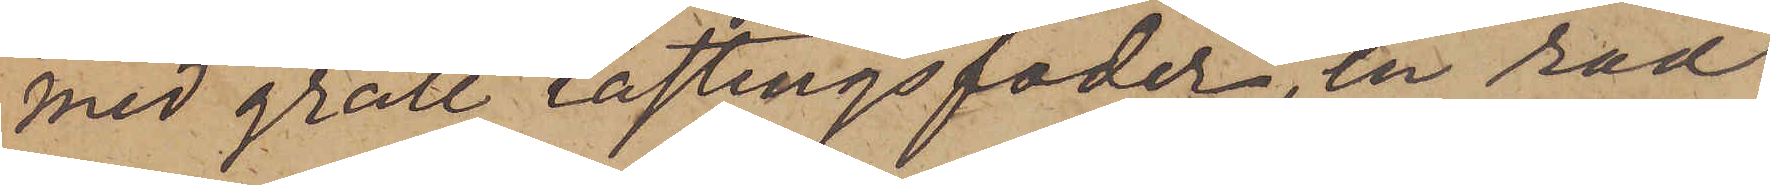med grått lastingsfoder, en rad
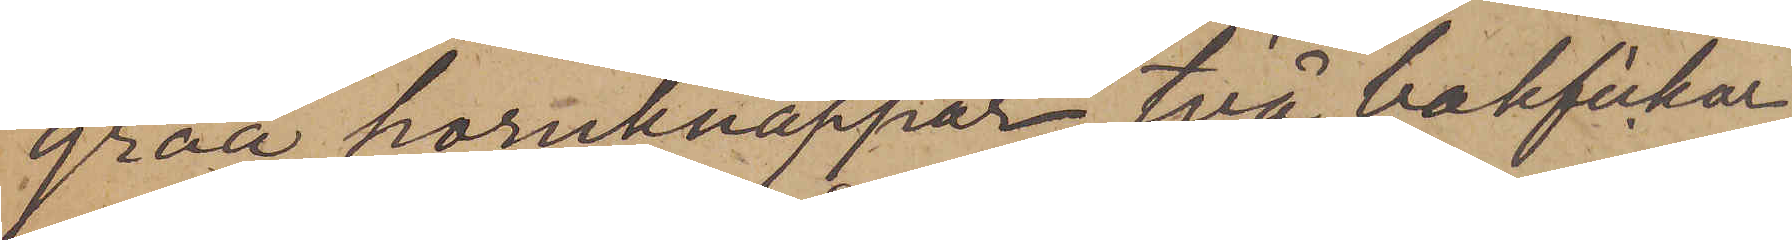gråa hornknappar, två bakfickor
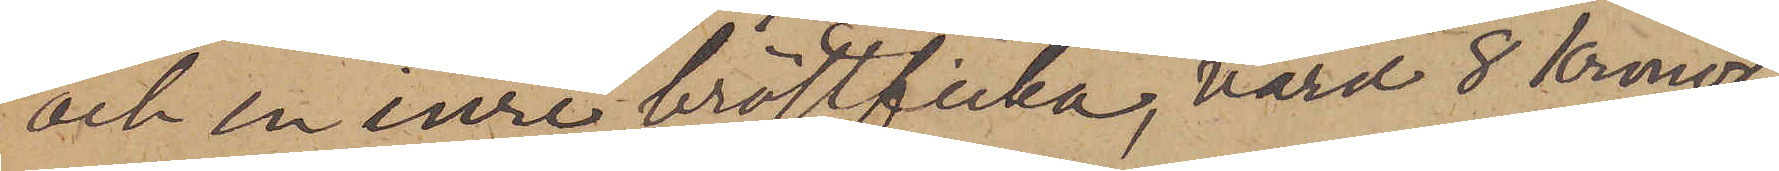och en inre bröstficka, värd 8 Kronor;
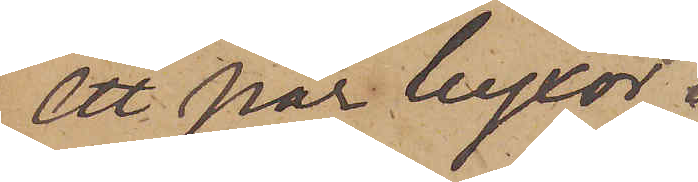ett par byxor
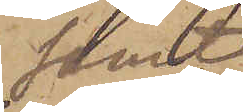samt
